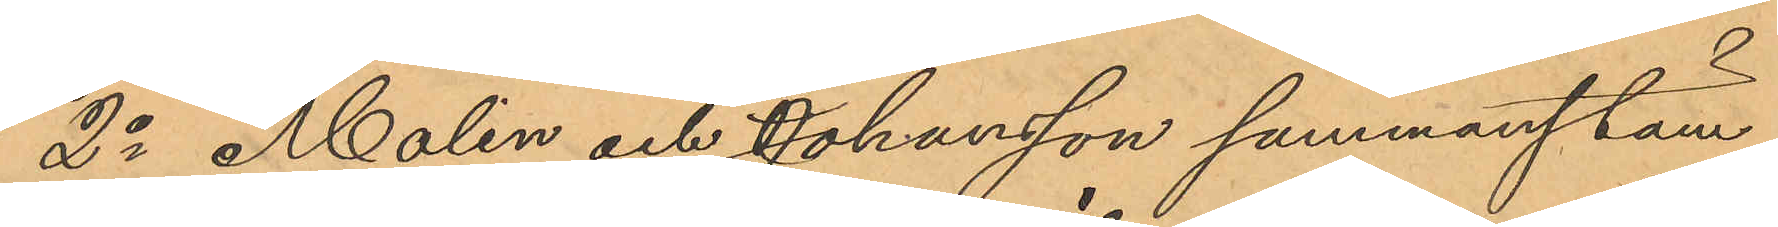2o Molin och Johansson sammanstäm¬
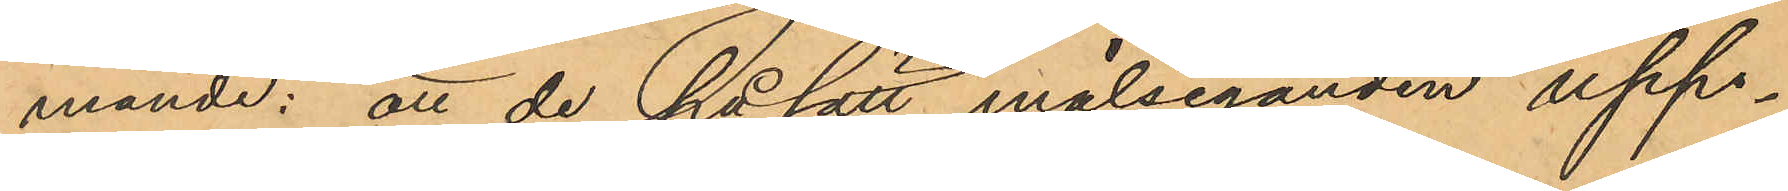mande: att de på sätt målseganden upp¬
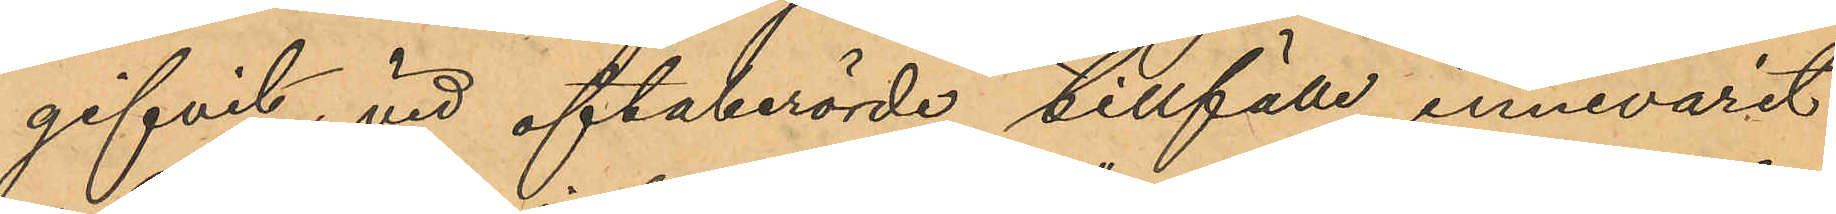gifvit, vid oftaberörde tillfälle innevarit
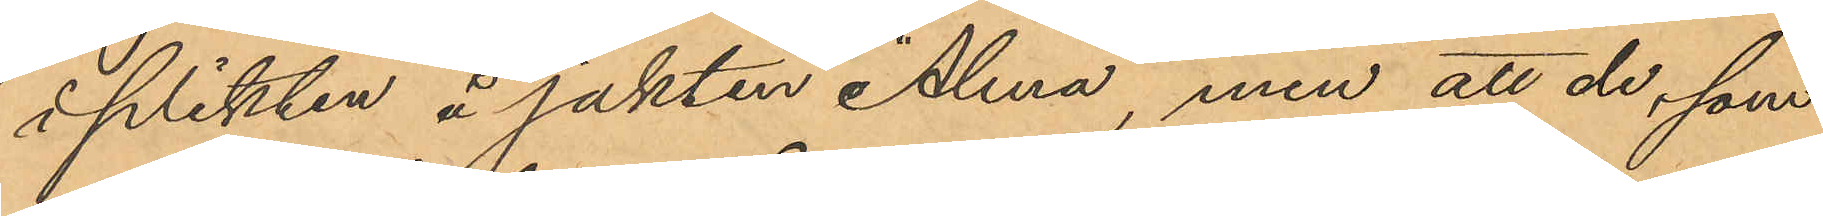i plikten å jakten "Alma", men att de, som
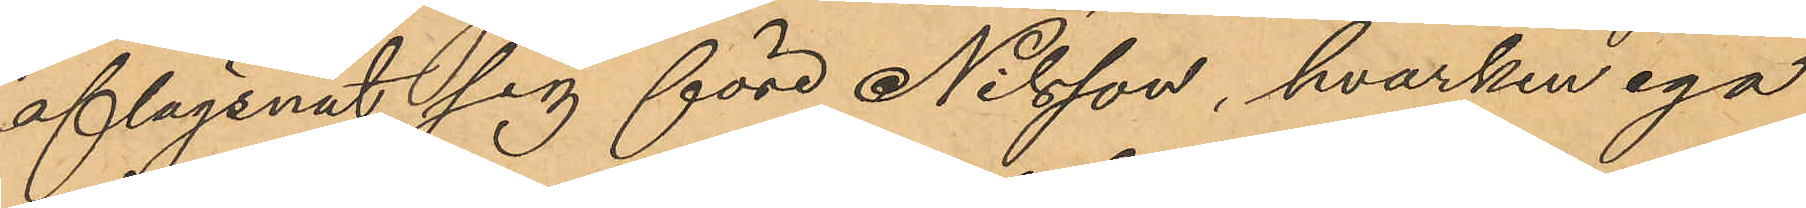aflägsnat sig före Nilsson, hvarken ega
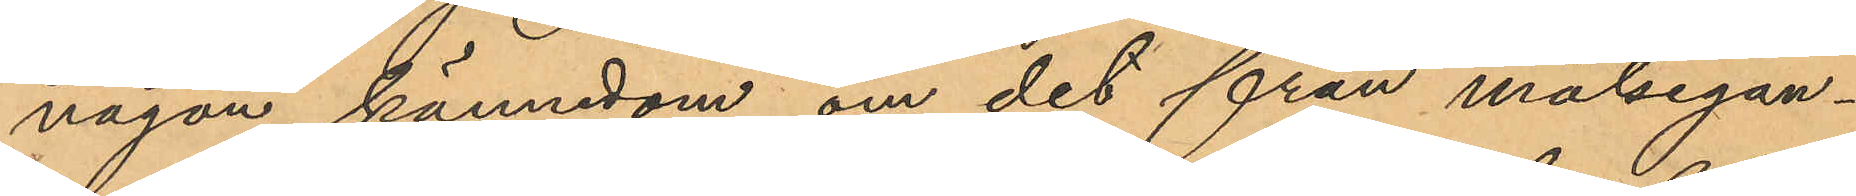någon kännedom om det från målsegan¬
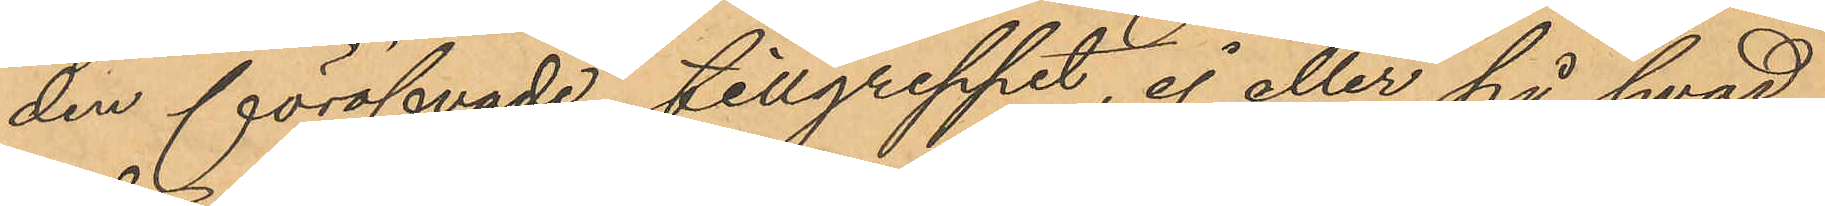den föröfvade tillgreppet, ej eller på hvad
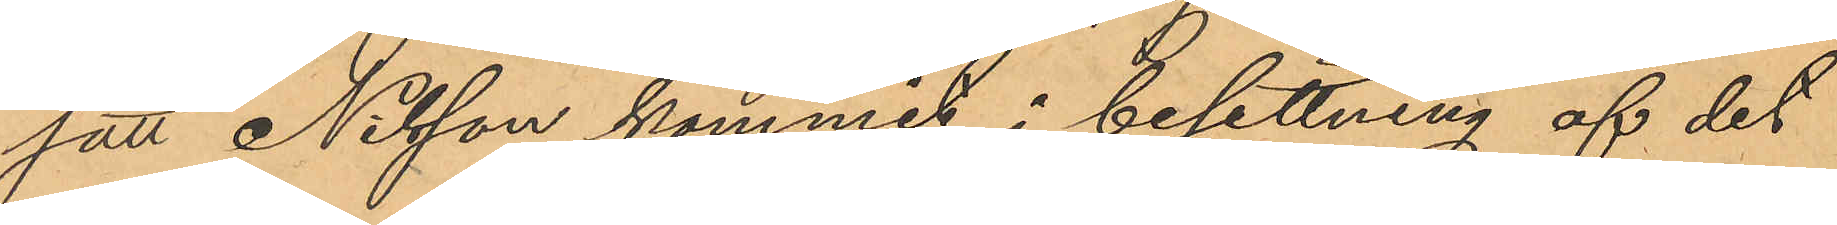sätt Nilsson kommit i besittning af det
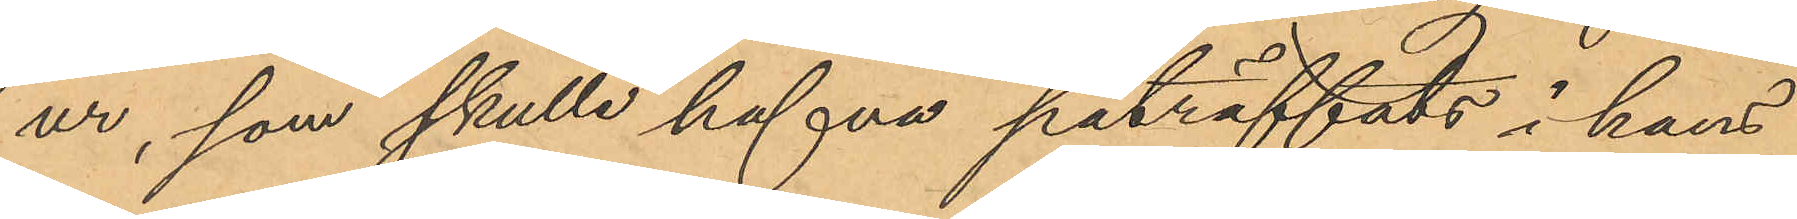ur, som skulle hafva påträffats i hans
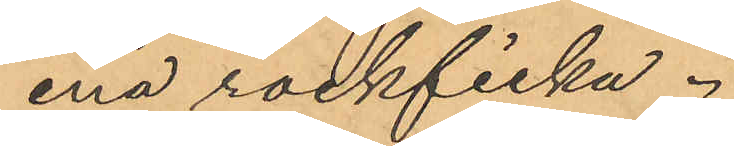ena rockficka.
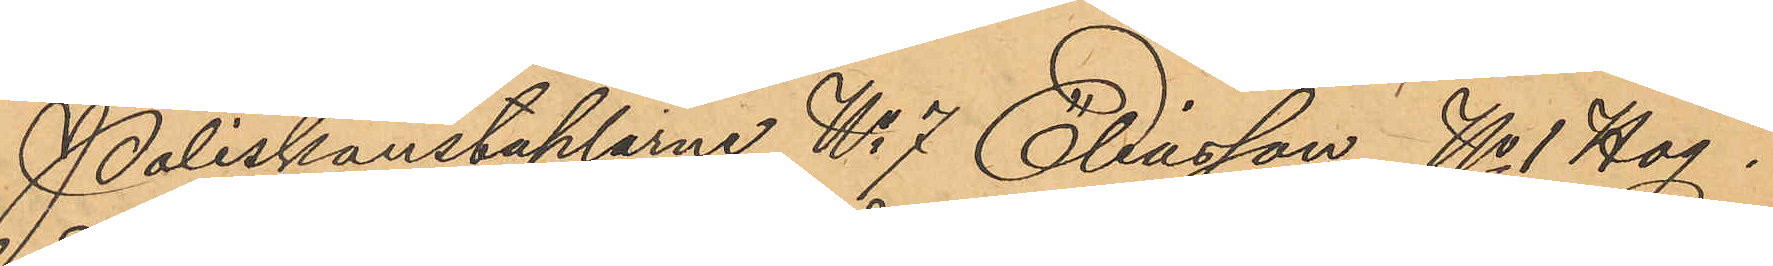Poliskonstaplarne No 7 Eliasson, No 1 Hög¬
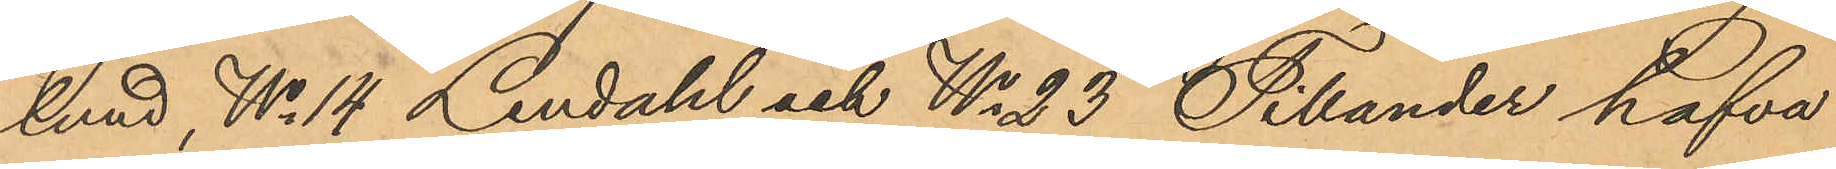lund, No 14 Lendahl och No 23 Tillander hafva
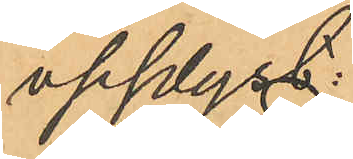upplyst:
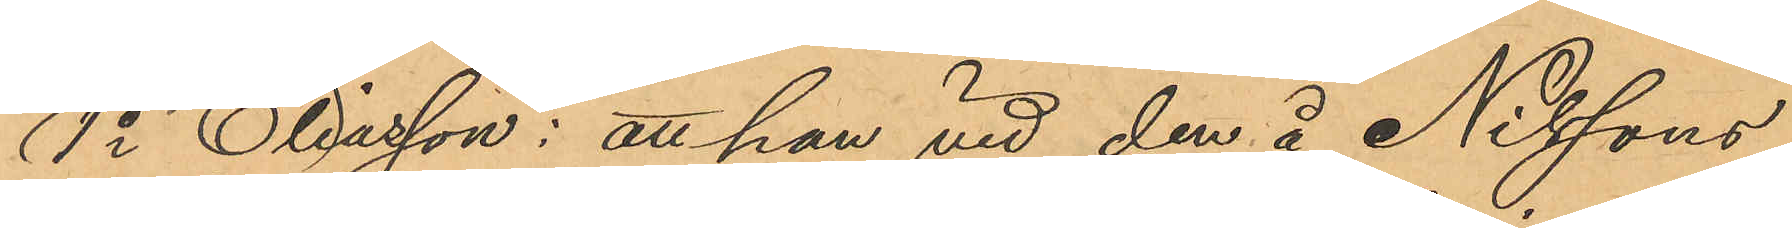1o Eliasson: att han vid den å Nilssons
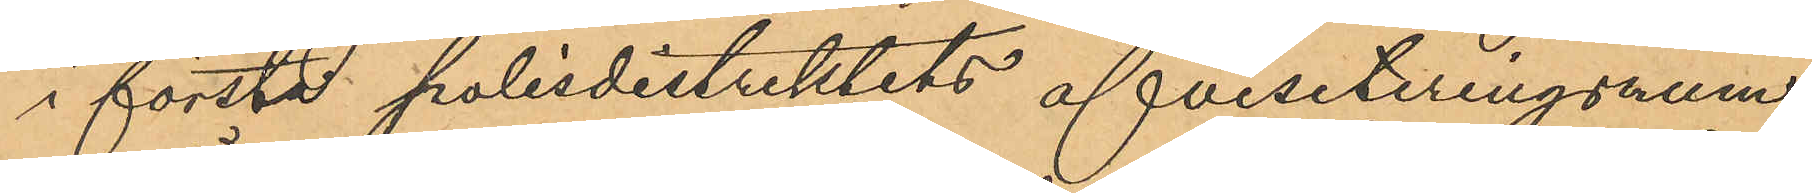i första polisdistriktets afvisiteringsrum
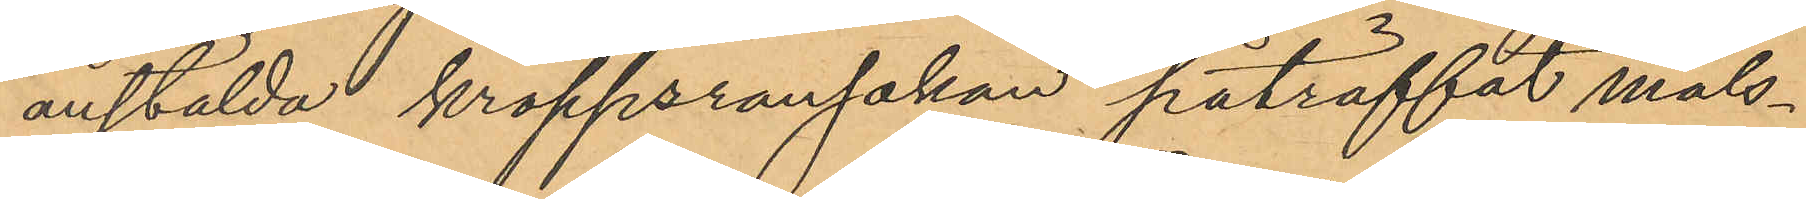anstälda kroppsransakan påträffat måls¬
